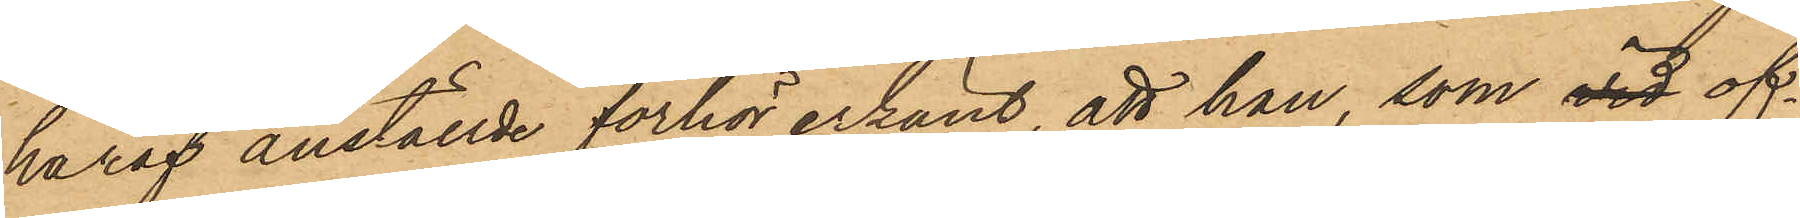häraf anställde förhör erkänt, att han, som vid of¬
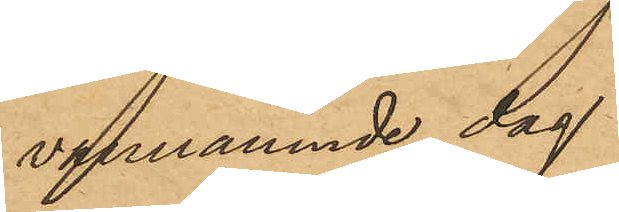vannämnde dag
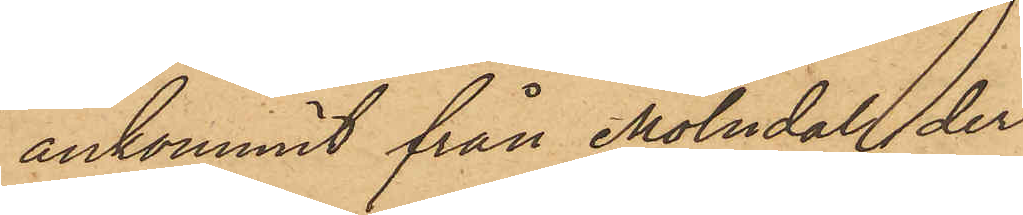ankommit från Mölndal, der
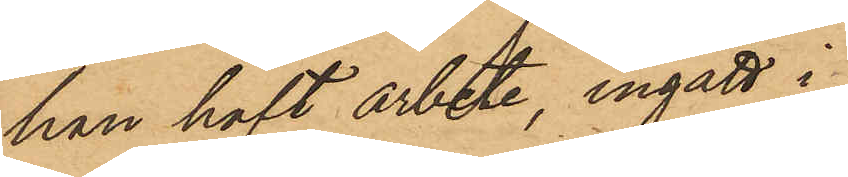han haft arbete, ingått i
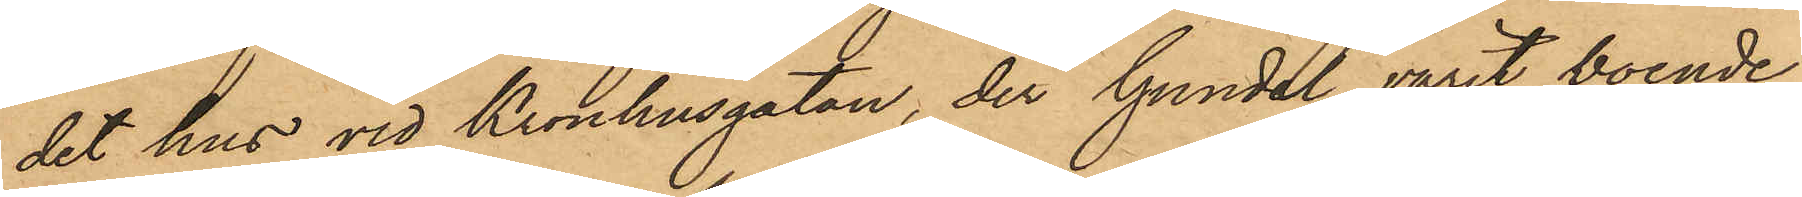det hus vid Kronhusgatan, der Gundel varit boende,
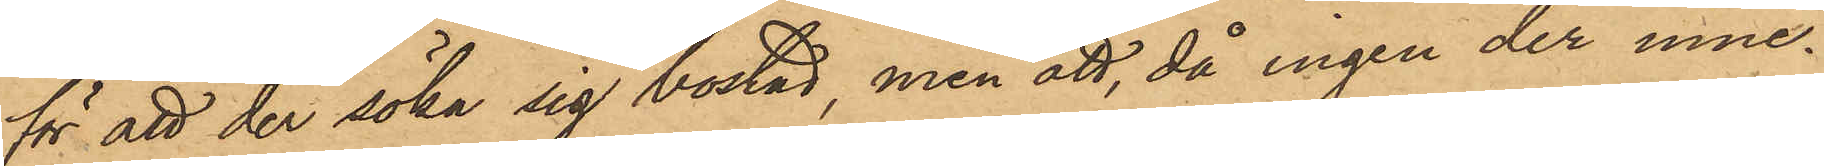för att der söka sig bostad, men att, då ingen der inne¬
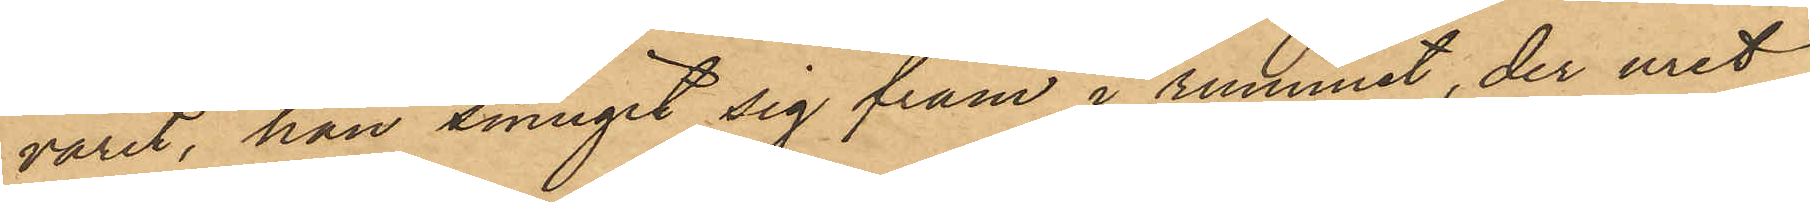varit, han smugit sig fram i rummet, der uret
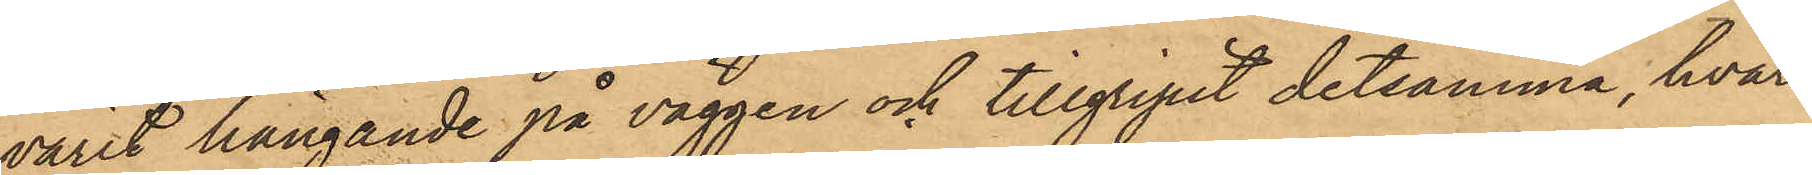varit hängande på väggen och tillgripit detsamma, hvar¬
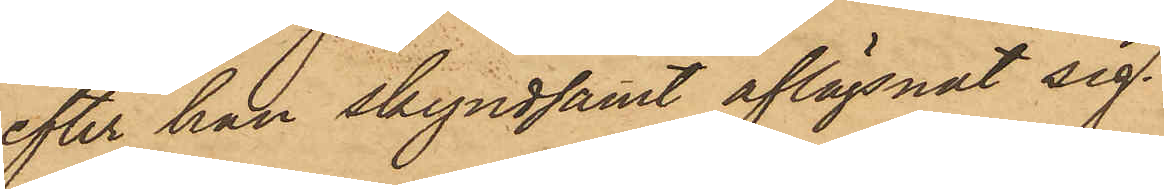efter han skyndsamt aflägsnat sig.
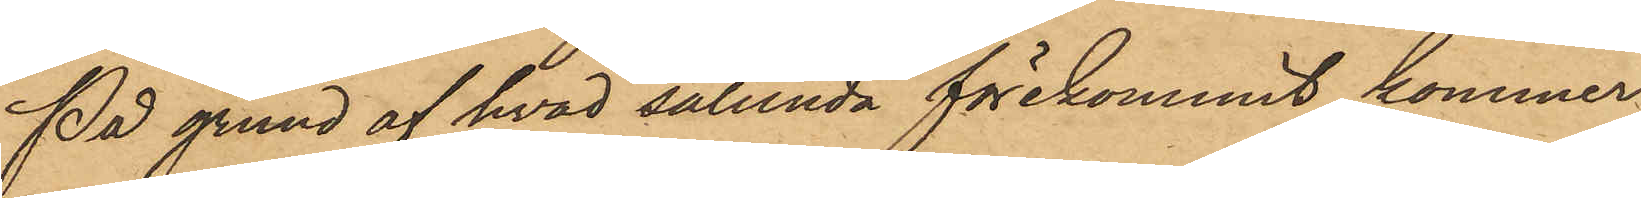På grund af hvad sålunda förekommit, kommer
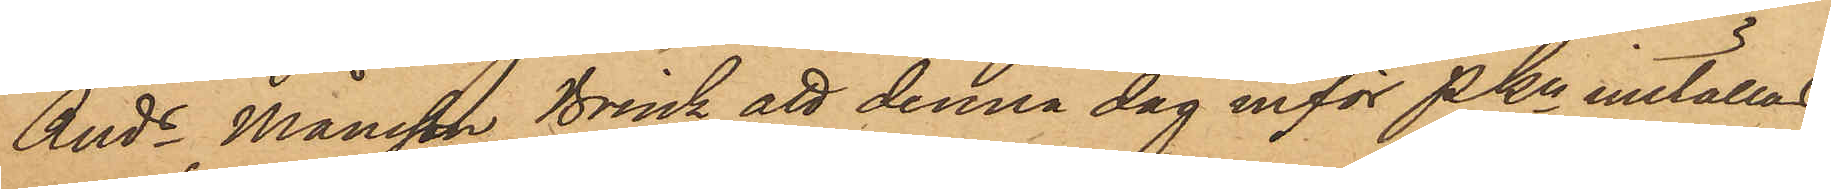Ands Månsson Brink att denna dag inför Pkn inställas.
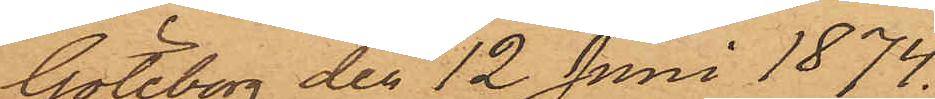Göteborg den 12 Juni 1874.
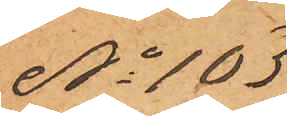No 103
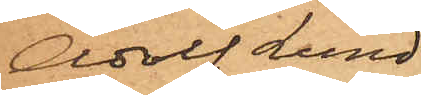Adolf Lund¬
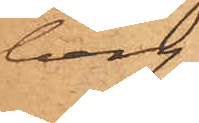berg
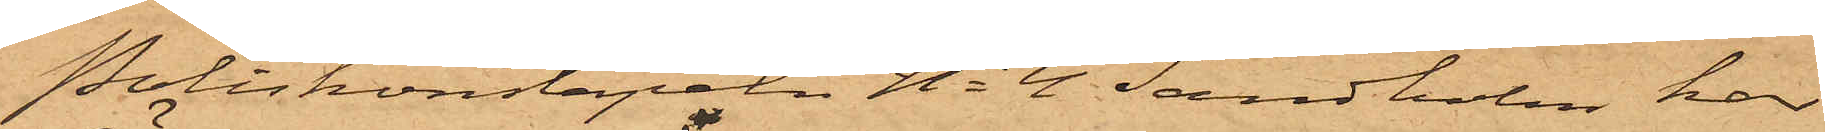Poliskonstapeln No 4 Sandholm har
